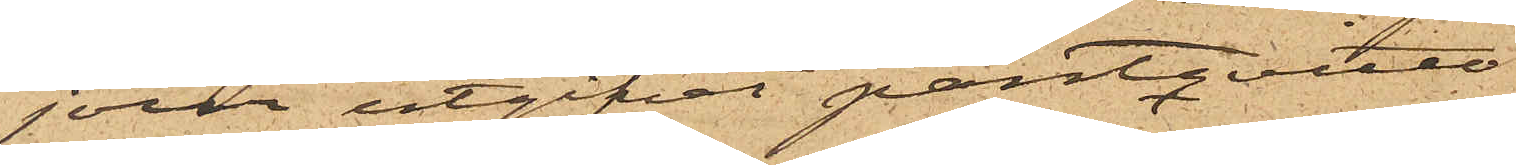jour utgifvit pantqvitto
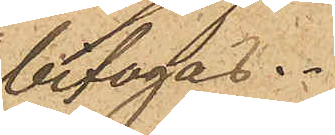bifogas.
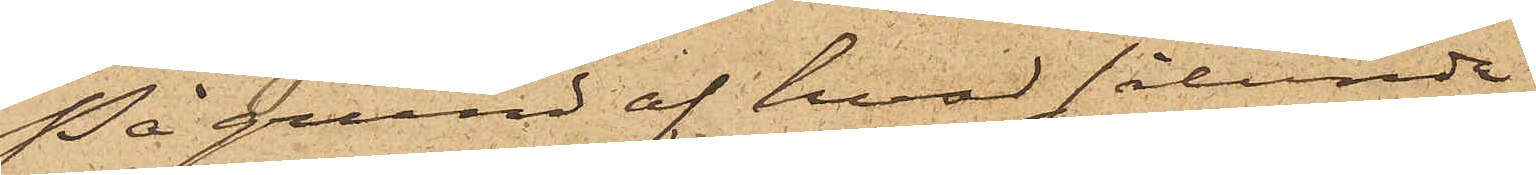På grund af hvad sålunda
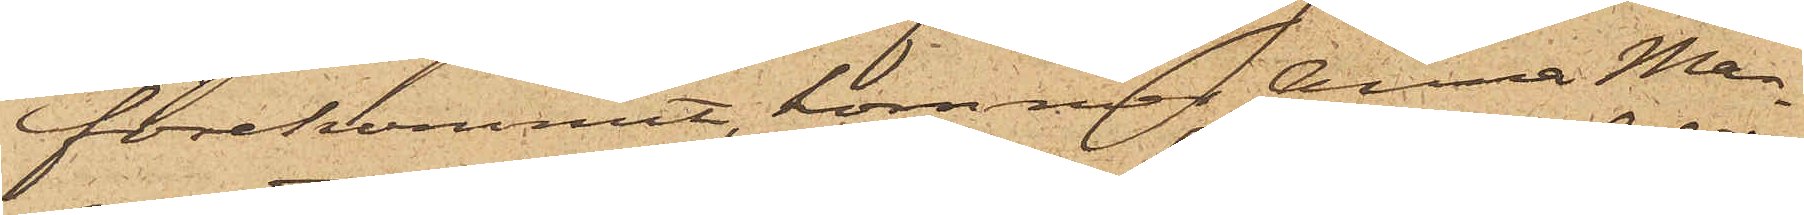förekommit, kommer Anna Mag¬
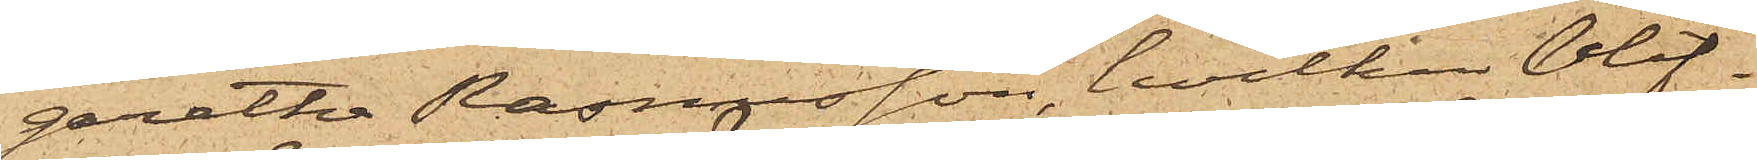garetha Rasmusson, hvilken blif¬
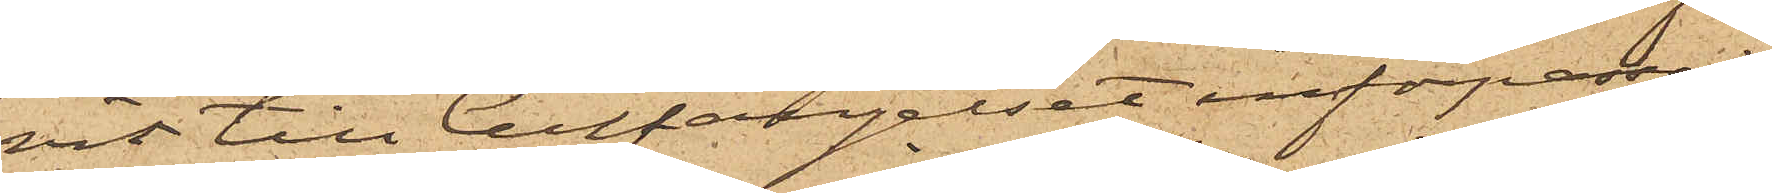vit till Cellfängelset införpassad,
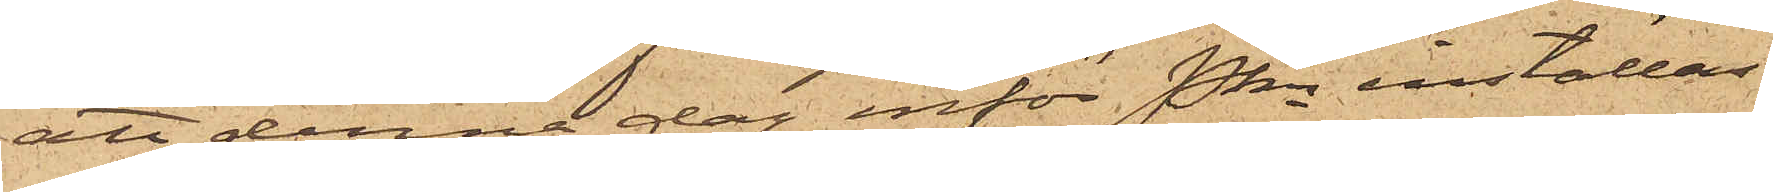att denna dag inför Pkn inställas.
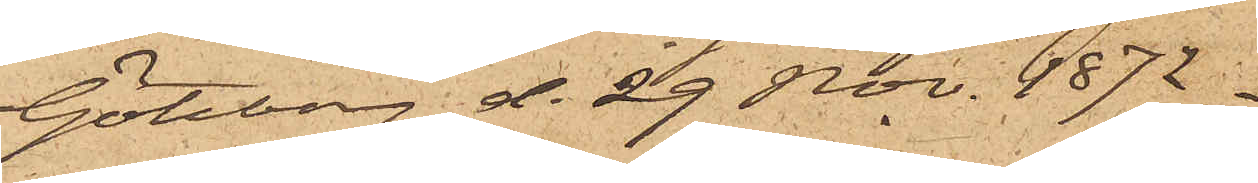Göteborg d. 29 Nov. 1872.
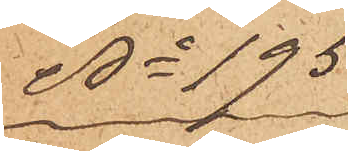No 195
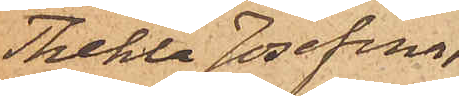Thekla Josefina
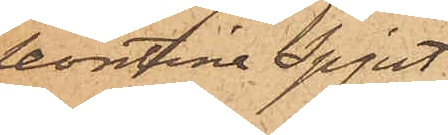Leontina Spjut
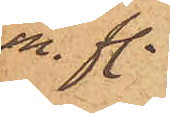m. fl.
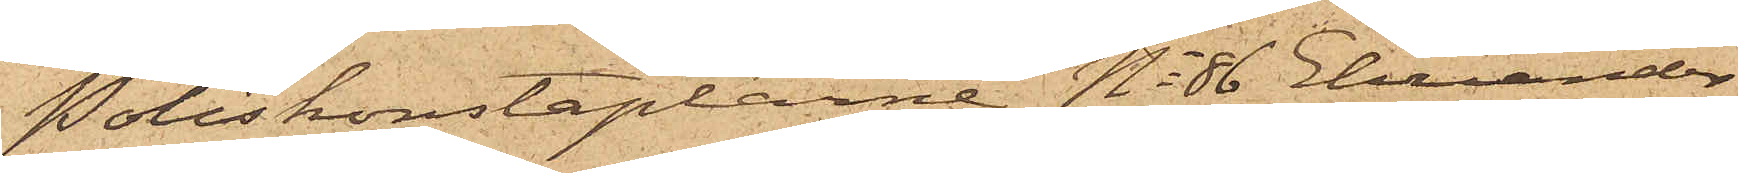Poliskonstaplarne No 86 Ehriander
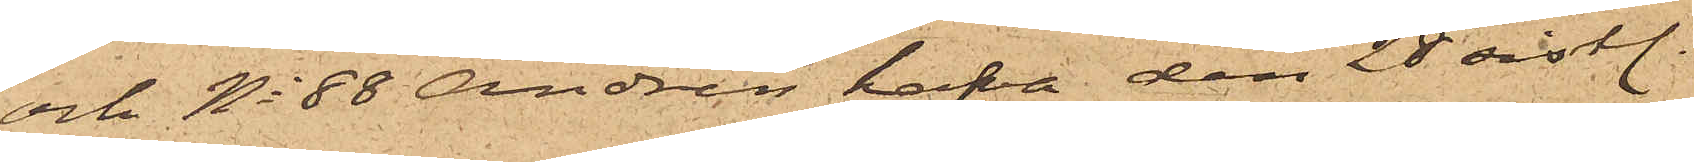och No 88 Andrén hafva den 28 sistl.
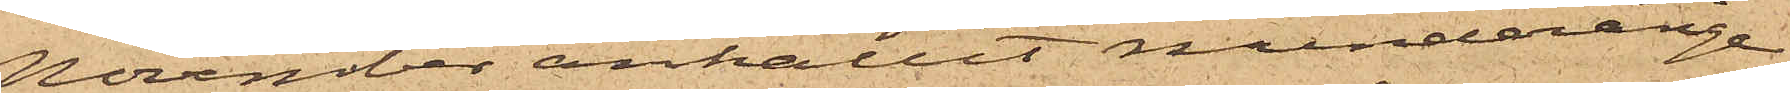November anhållit minderåriga
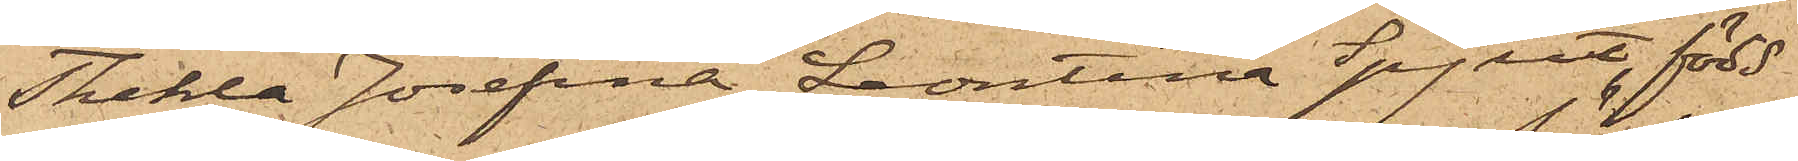Thekla Josefina Leontina Spjut, född
